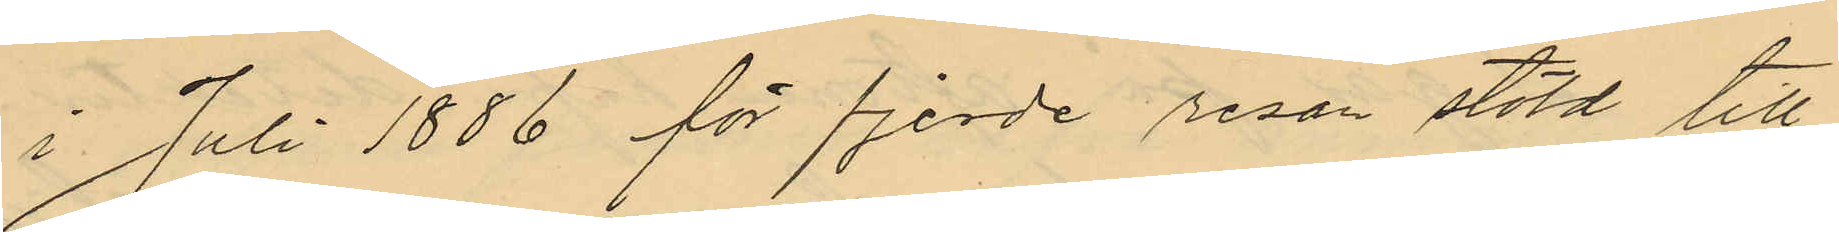i Juli 1886 för fjerde resan stöld till
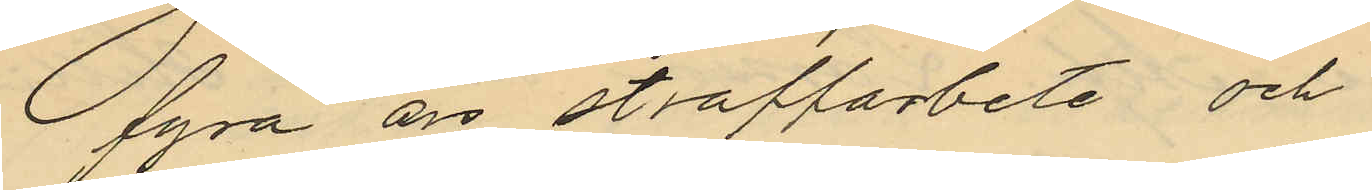fyra års straffarbete och
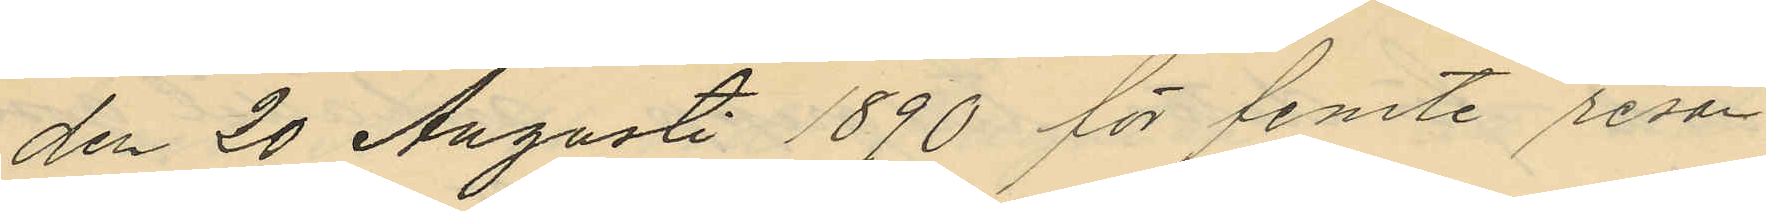den 20 Augusti 1890 för femte resan
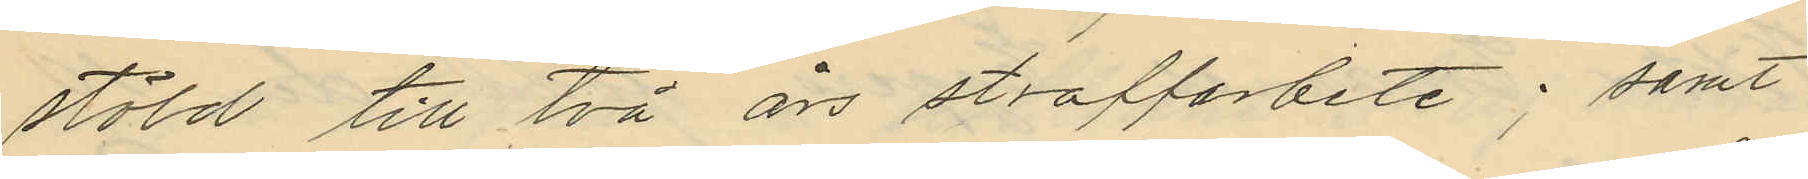stöld till två års straffarbete; samt
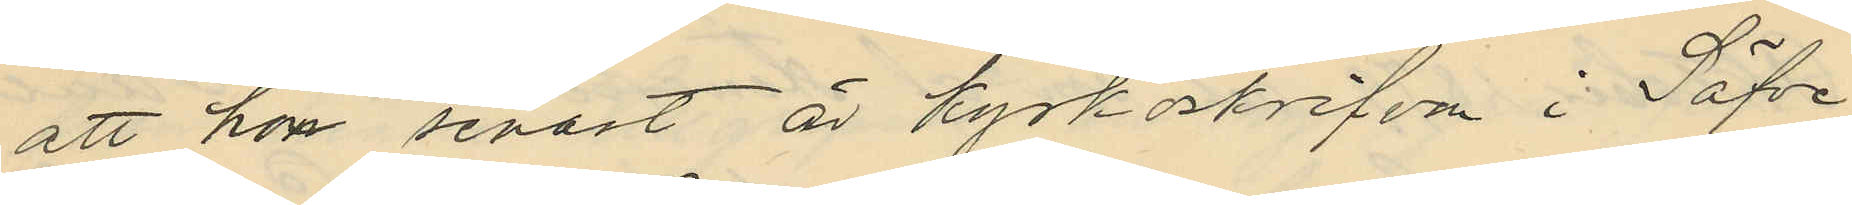att hon senast är kyrkoskrifven i Säfve
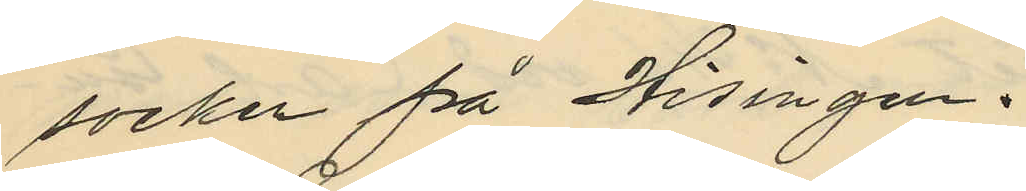socken på Hisingen.
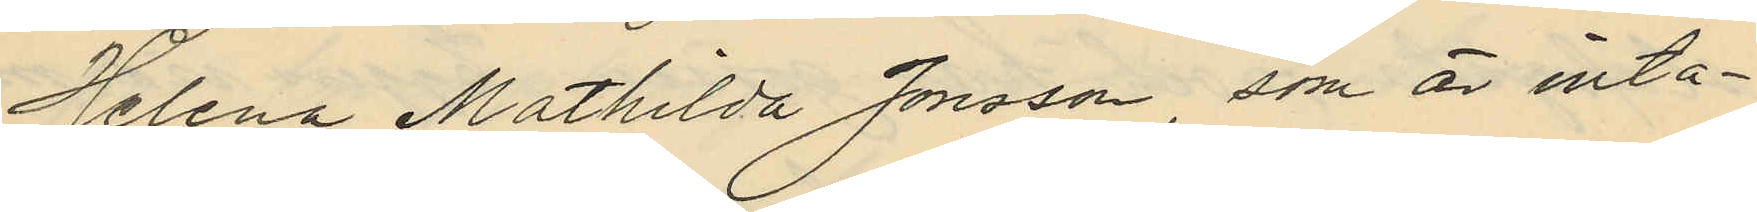Helena Mathilda Jonsson, som är inta¬
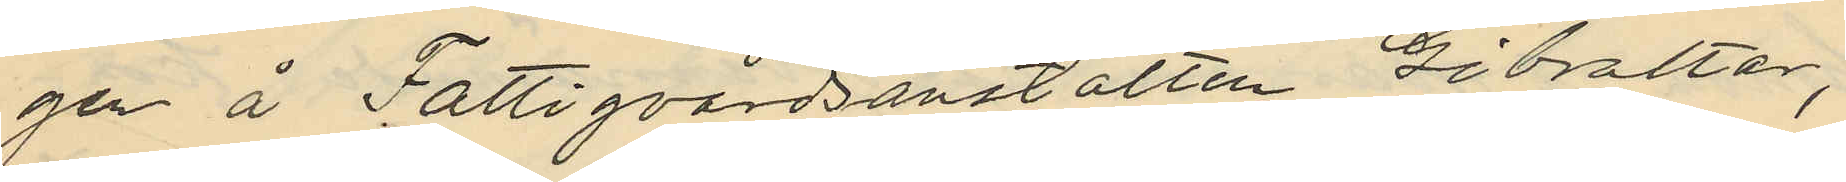gen å Fattigvårdsanstalten Gibraltar,
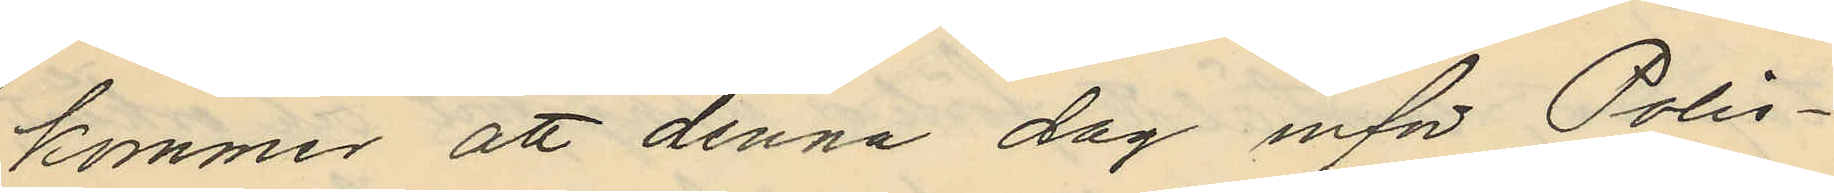kommer att denna dag inför Polis¬
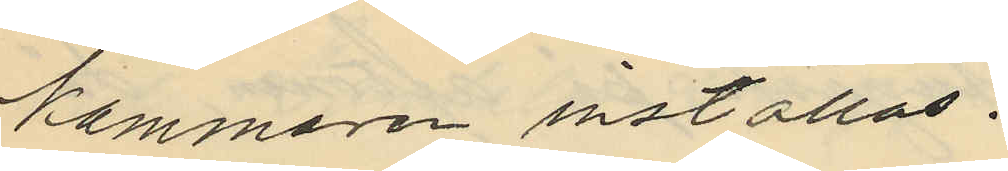kammaren inställas.
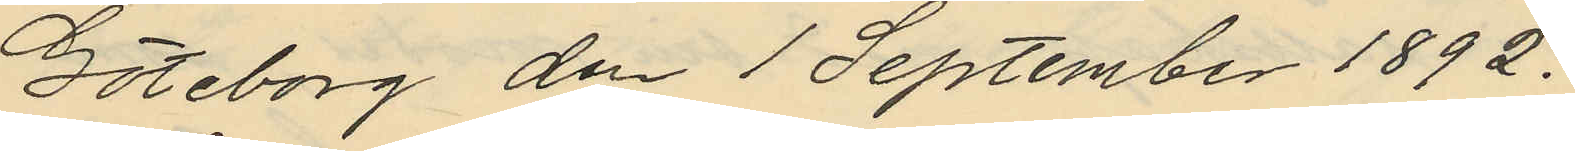Göteborg den 1 September 1892.
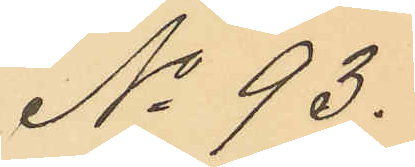No 93.
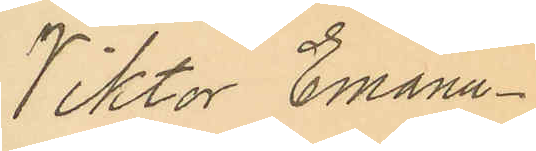Viktor Emanu¬
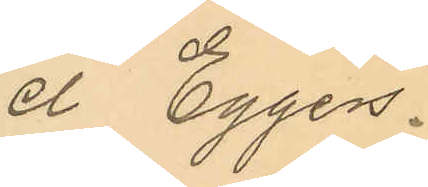el Eggers.
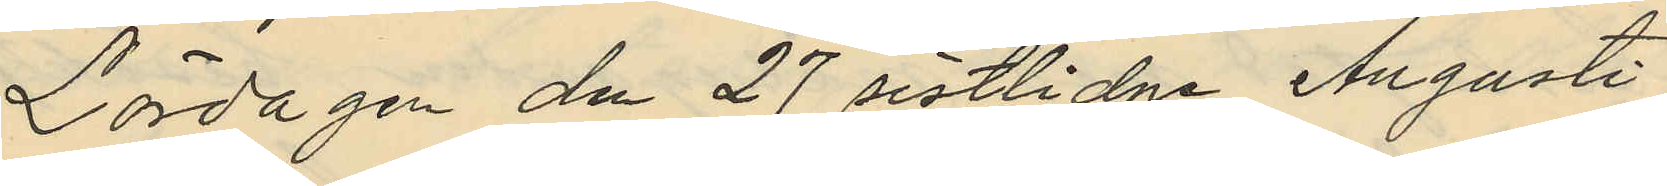Lördagen den 27 sistlidne Augusti
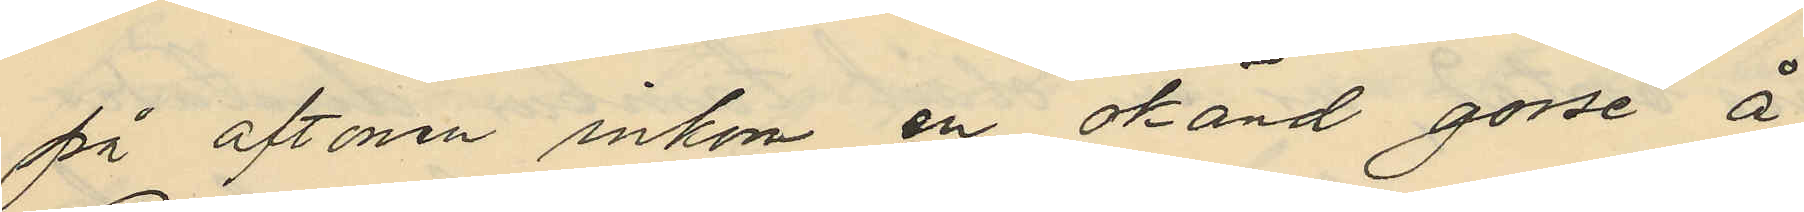på aftonen inkom en okänd gosse å
